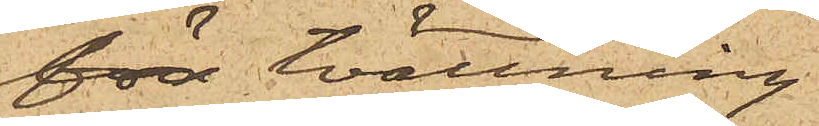för tvättning
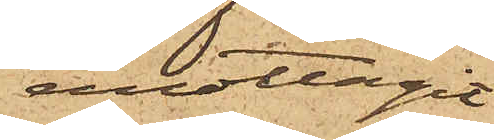emottagit
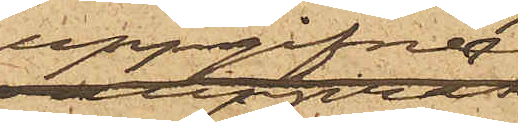uppgifne
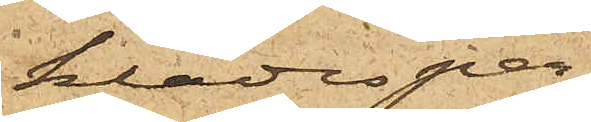klädesper¬
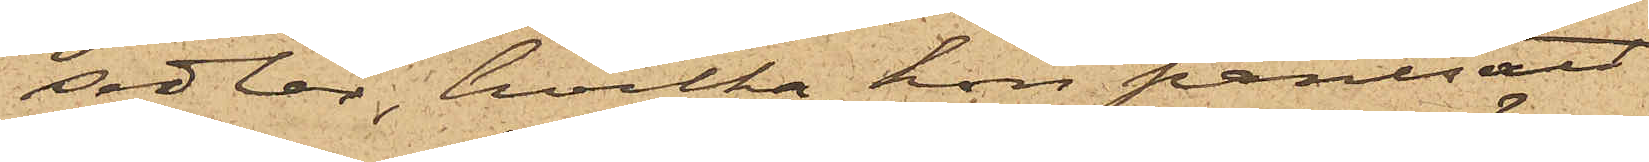sedlar, hvilka hon pantsatt
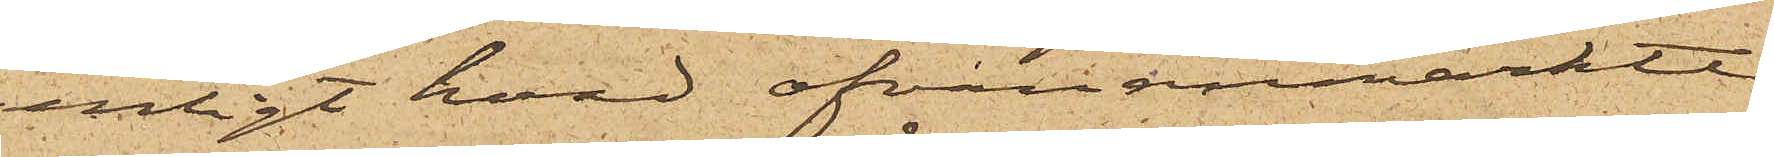enligt hvad ofvananmärkte
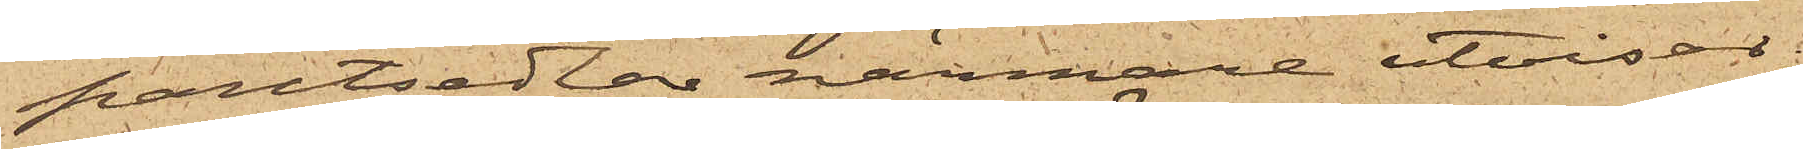pantsedlar närmare utvisar,
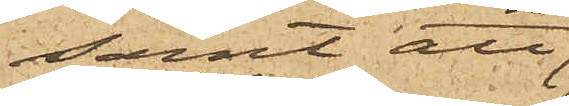samt att
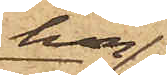hon
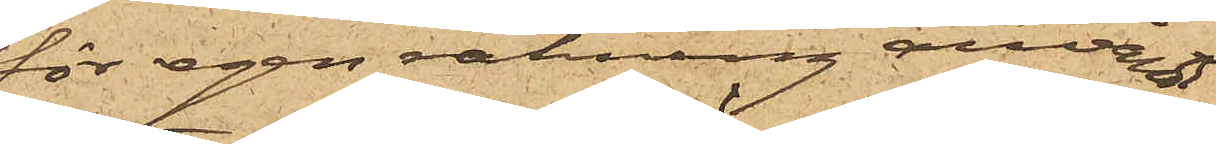för egen räkning användt
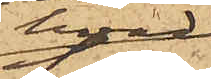hvad
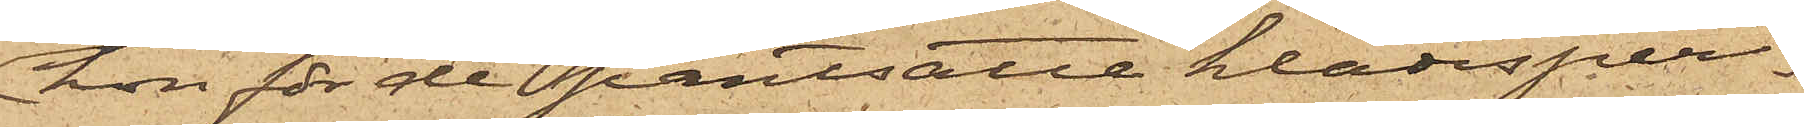hon för de pantsatte klädesper¬
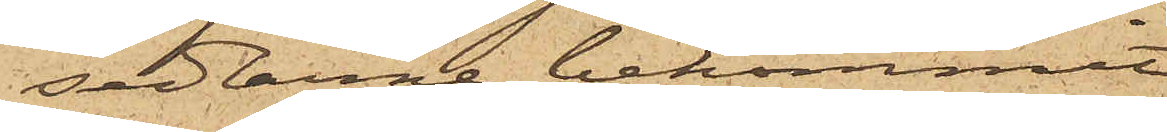sedlarne bekommit.
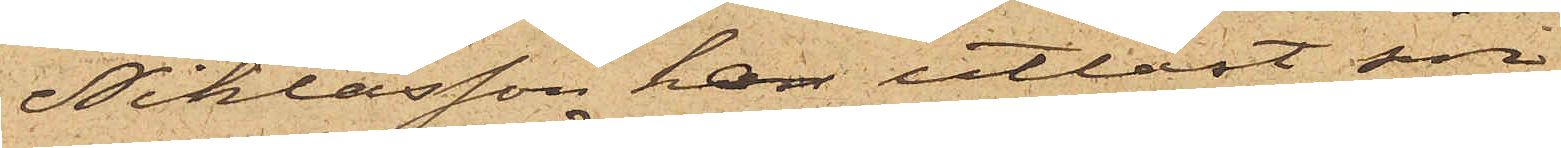Niklasson har utlöst sin
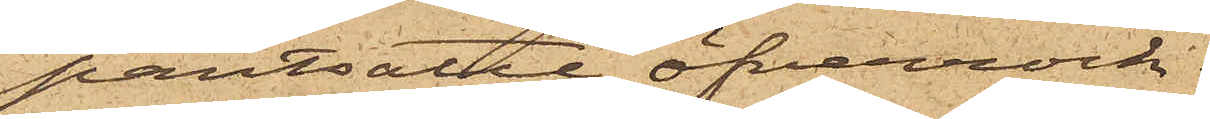pantsatte öfverrock.
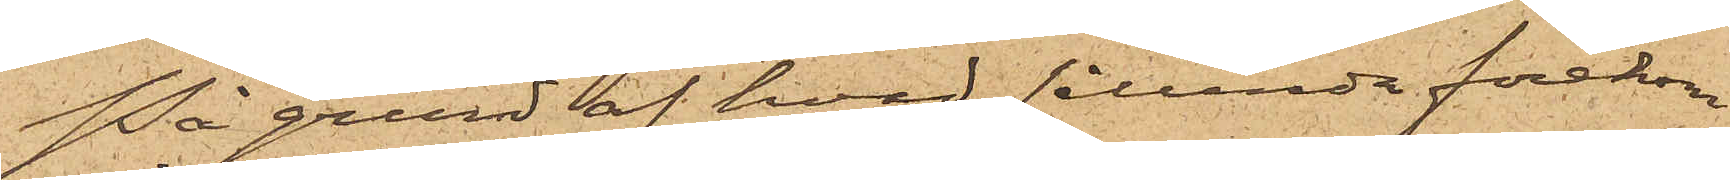På grund af hvad sålunda förekom¬
